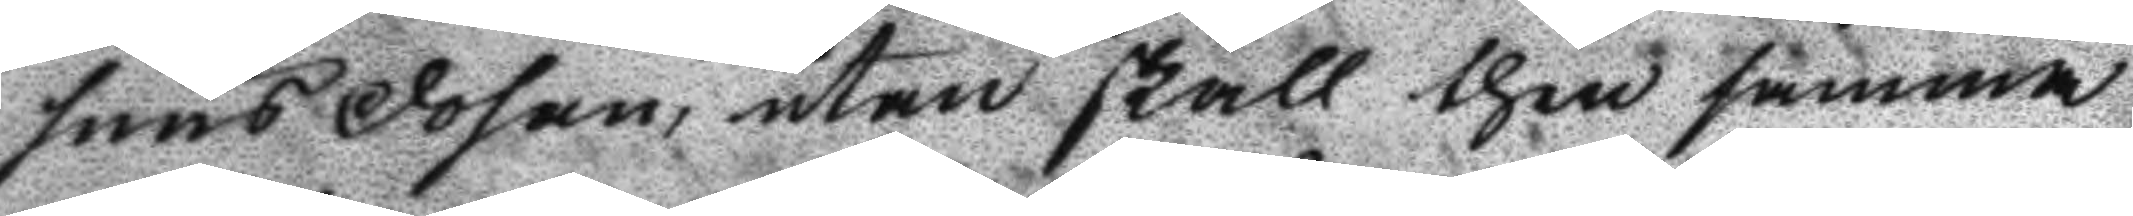snus dosan, utan skall then samma
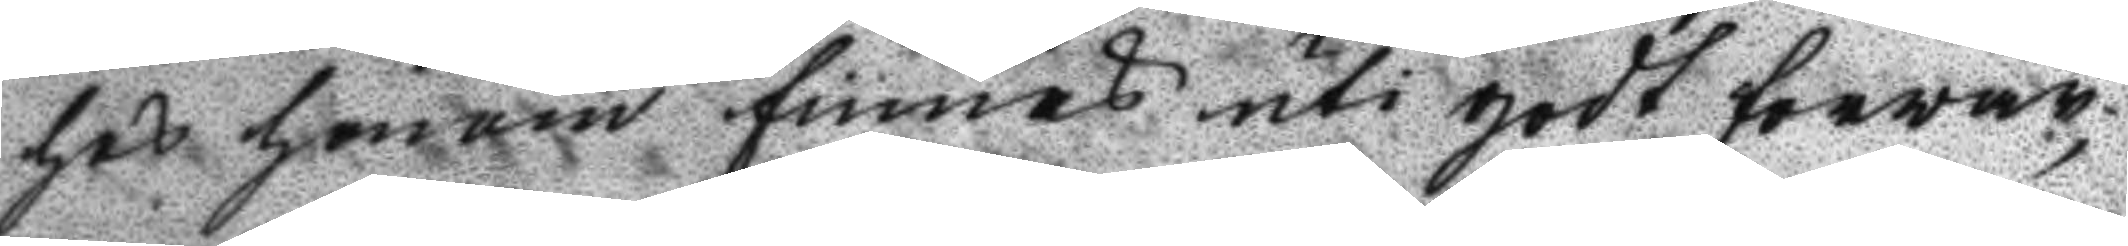hos honom finnas uti godt forvar,
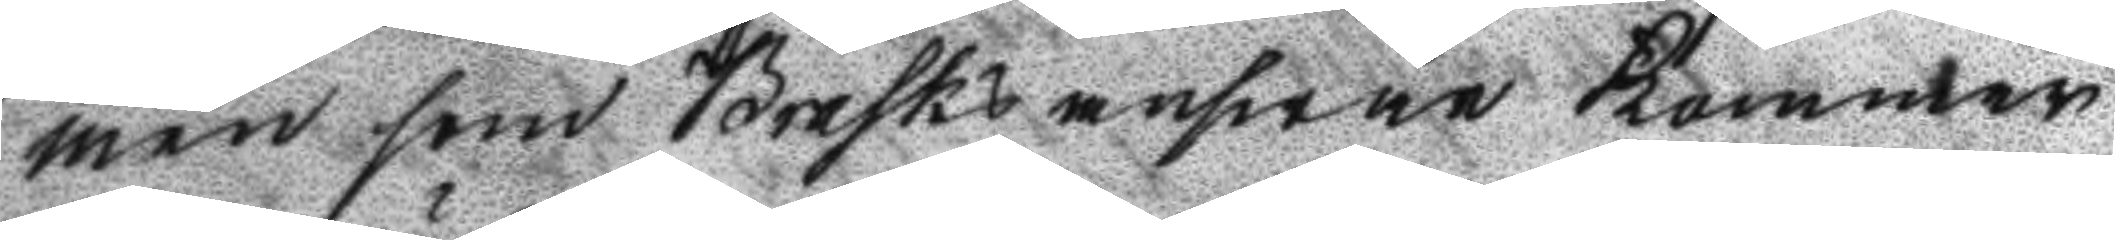men som Brasks answar kommer
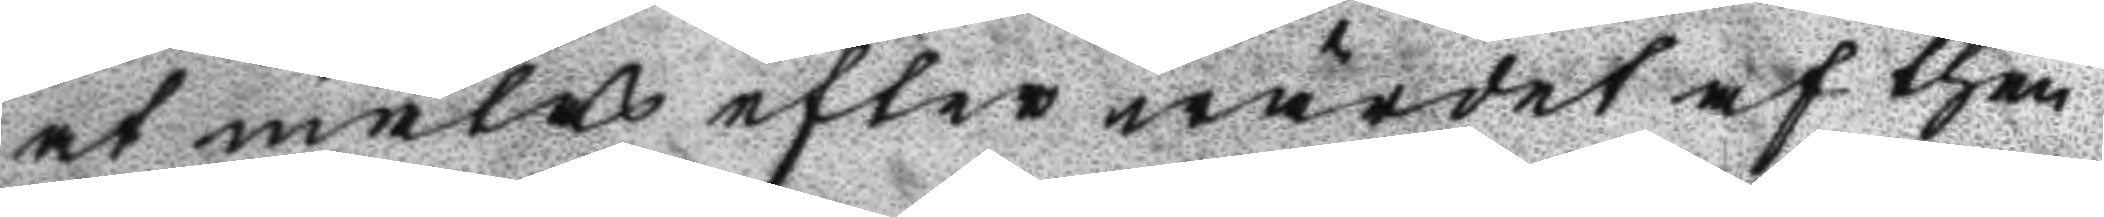at mälas efter wärdet af then
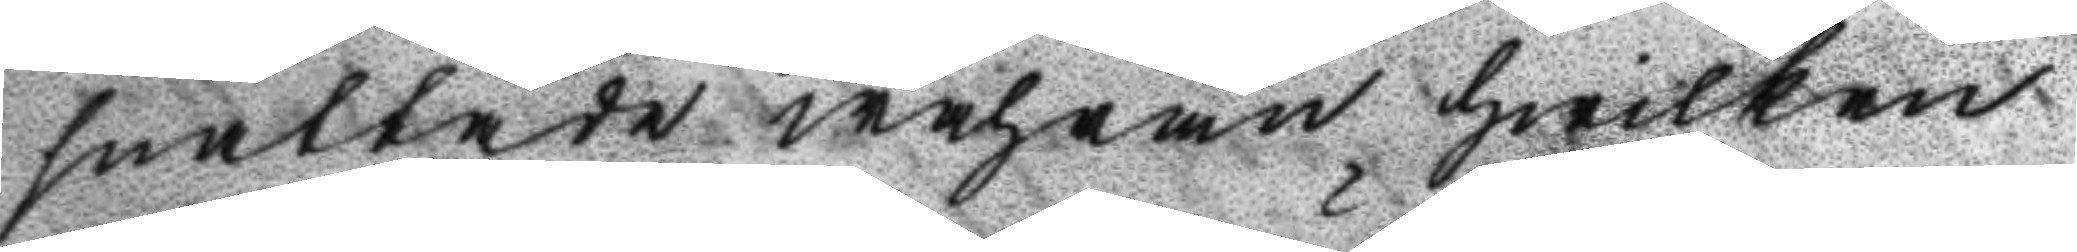snattade wahran hwilken
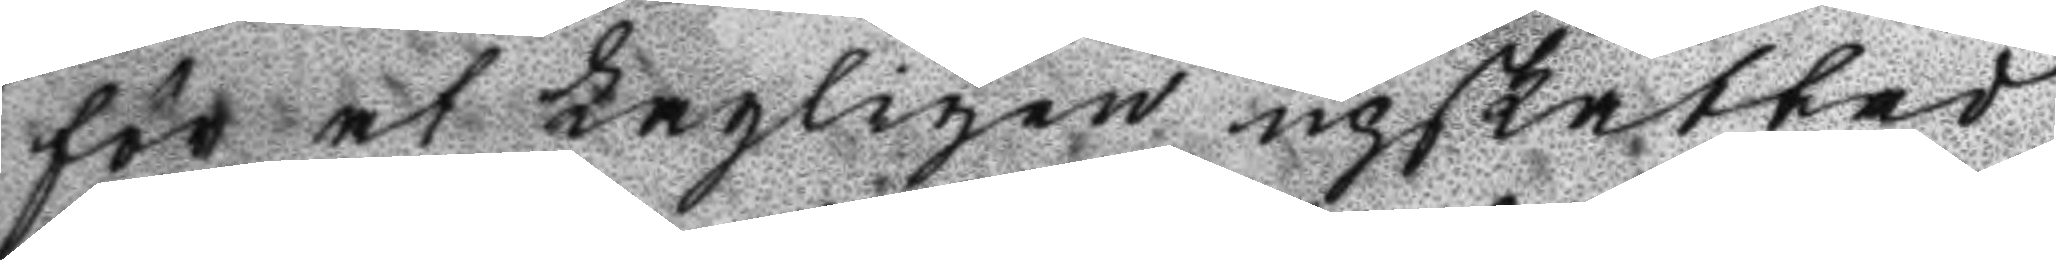för at Lagligen upskattad
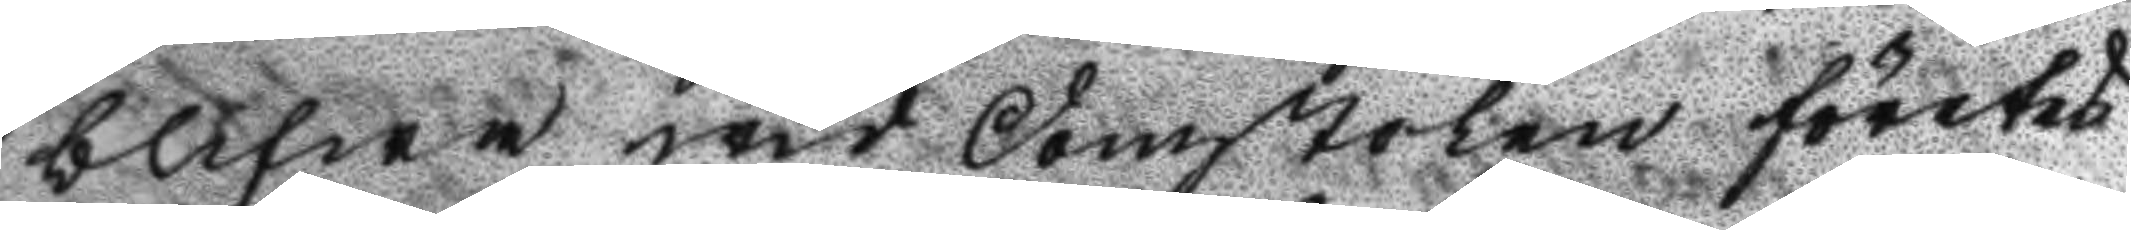blifwa wid Domstolen företes
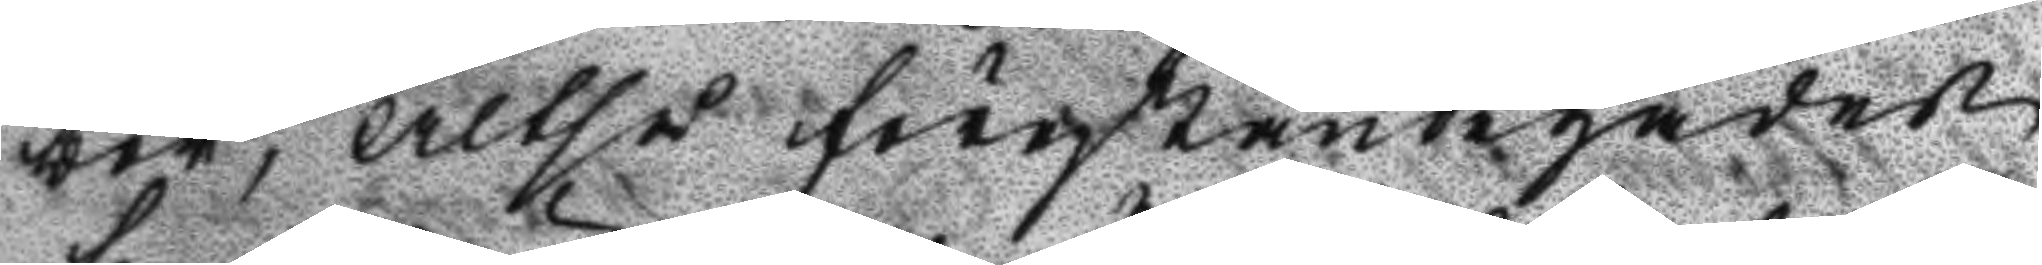bör; Altså förständigades
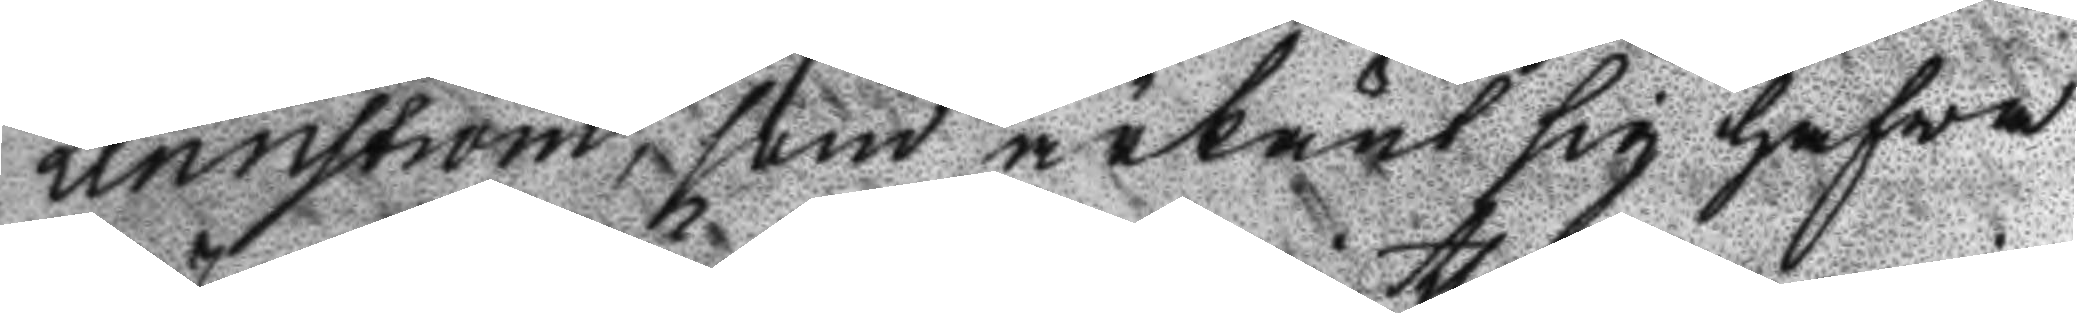Lennström, som räknat sig hafwa
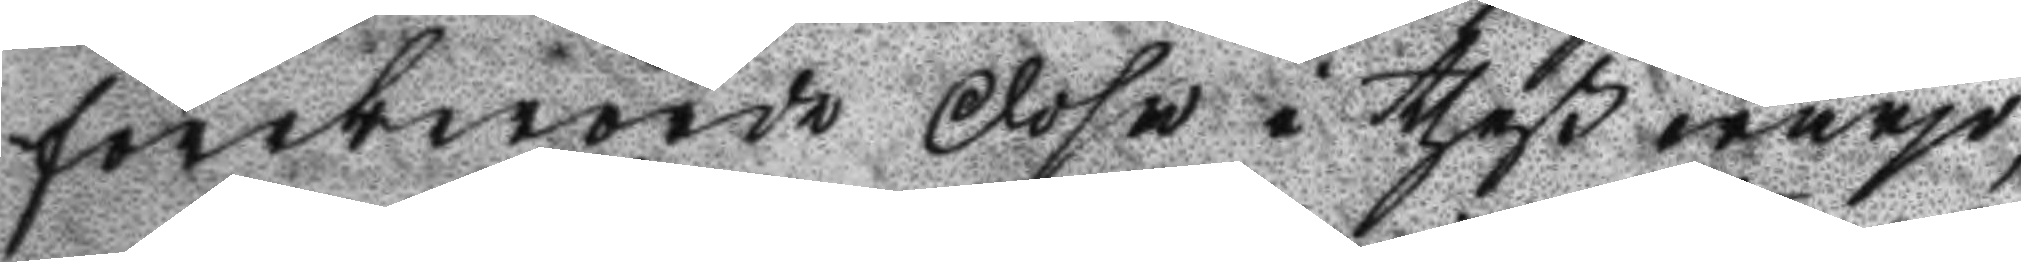föreberörde Dosa i theß warjo,
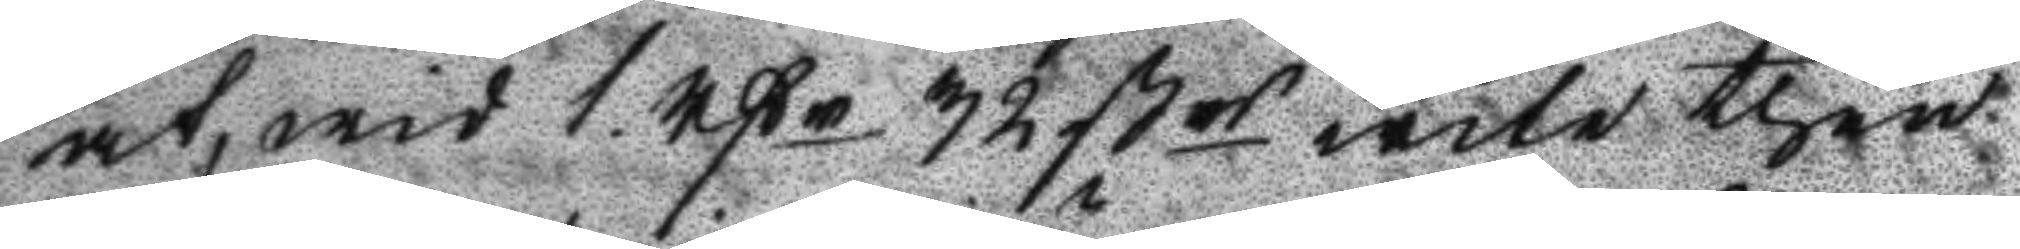at, wid 1 rßr 32 ßrs wite then
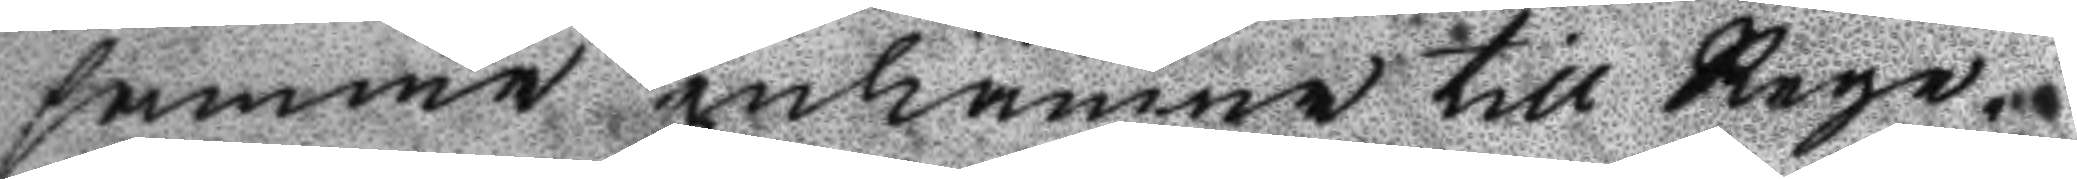samma inlämna till Rege¬
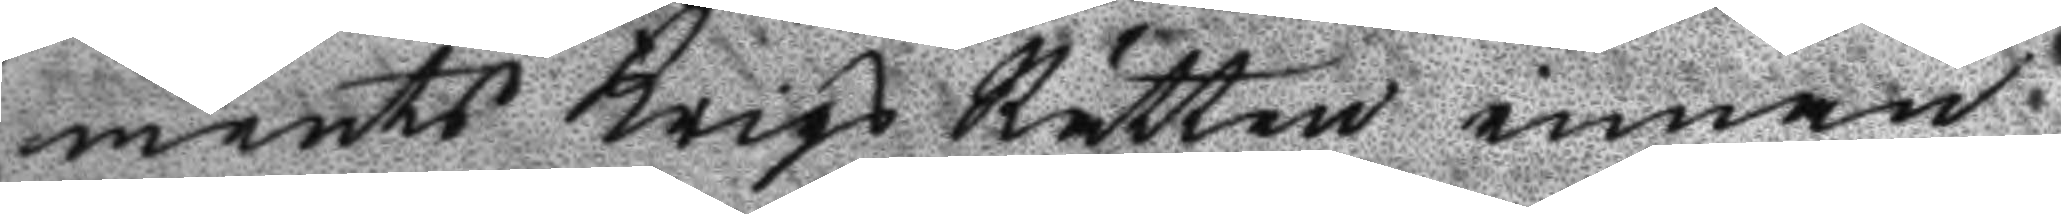ments Krigs Rätten innan
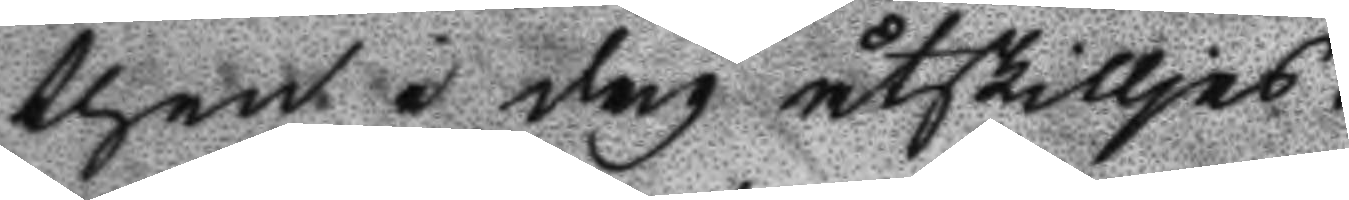thet i dag åtskilljes.
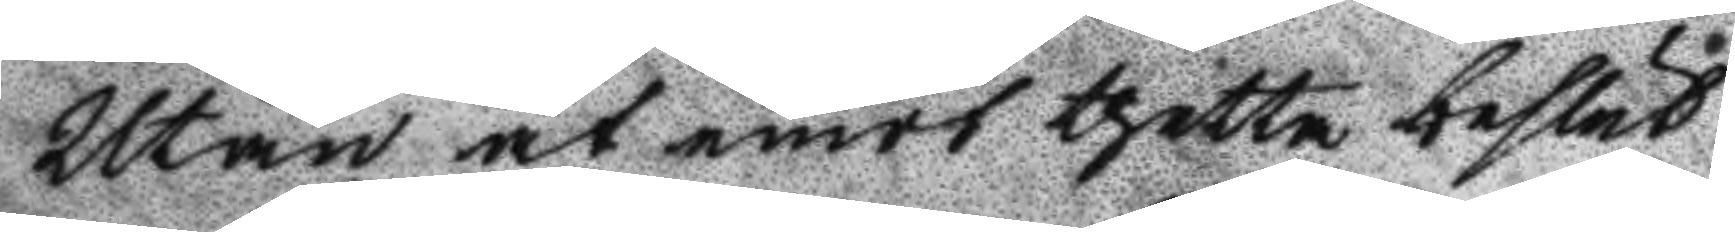Utan at emot thetta beslut
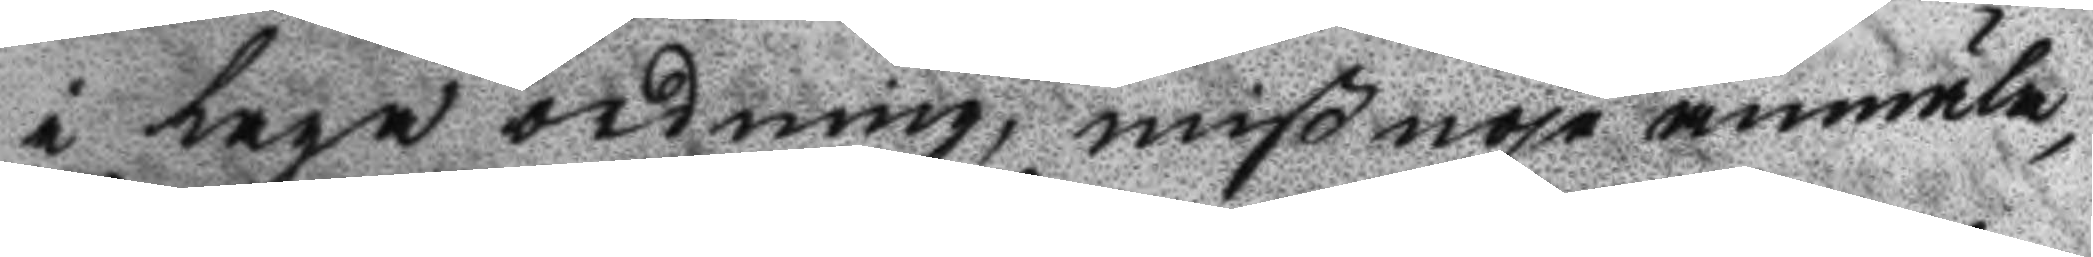i laga ordning, mißnöje anmäla,
